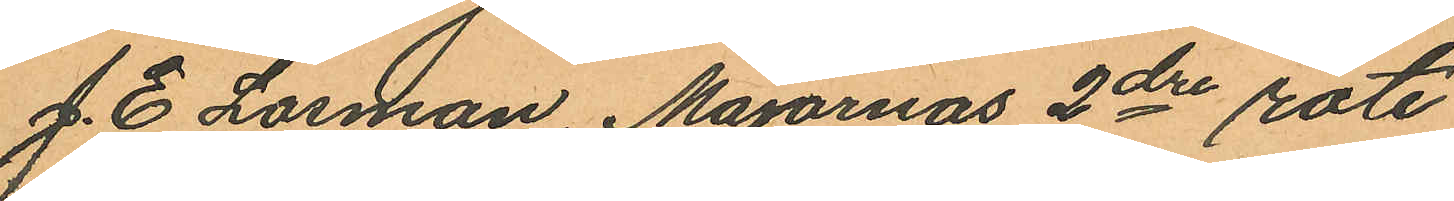J. E. Losman, Majornas 2dre rote
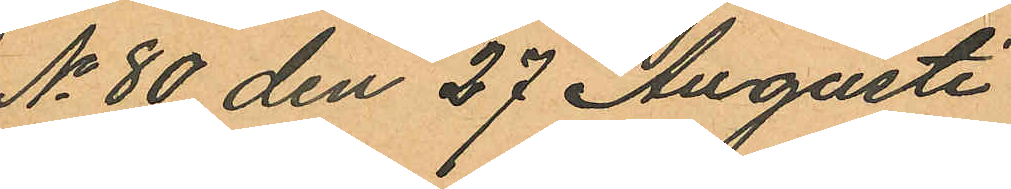No 80 den 27 Augusti
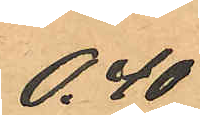0,40
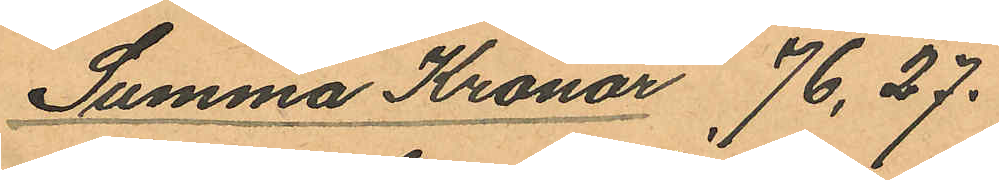Summa Kronor 76,27.
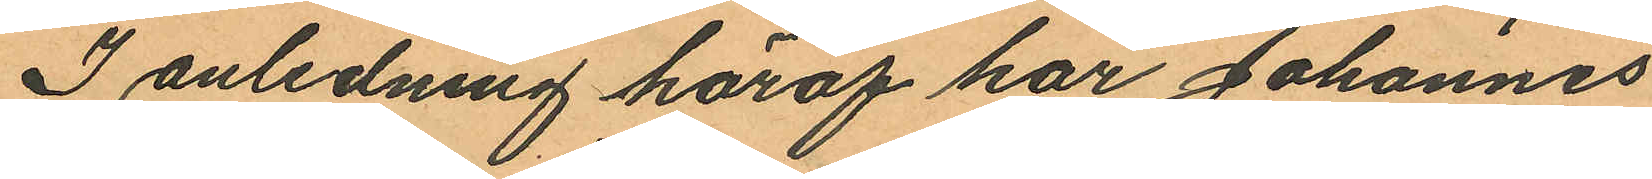I anledning häraf har Johannes
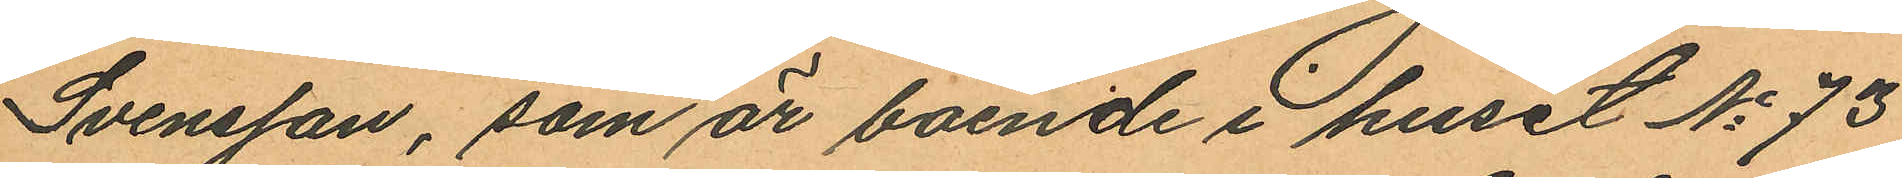Svensson, som är boende i huset No 73
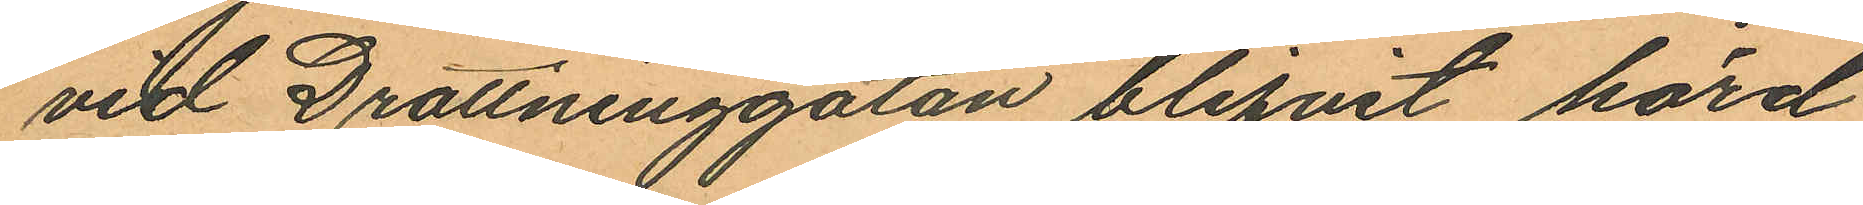vid Drottninggatan blifvit hörd
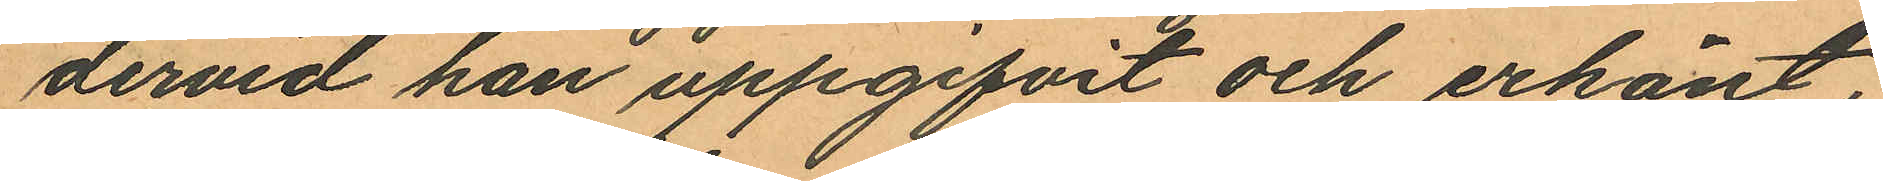dervid han uppgifvit och erkänt,
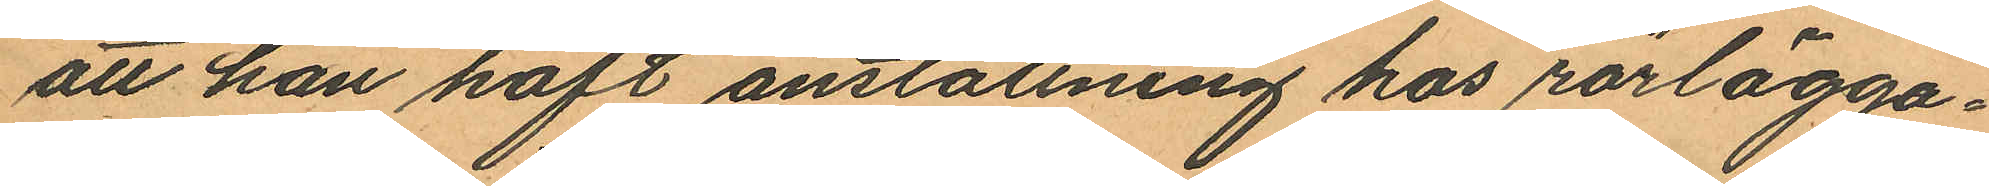att han haft anställning hos rörlägga¬
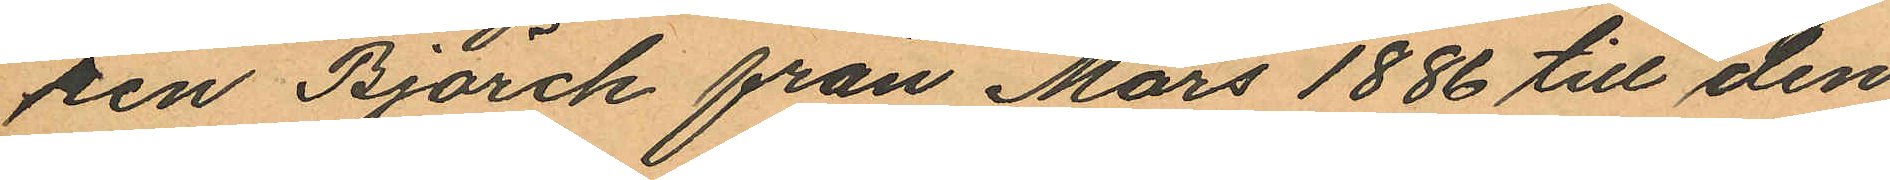ren Björck från Mars 1886 till den
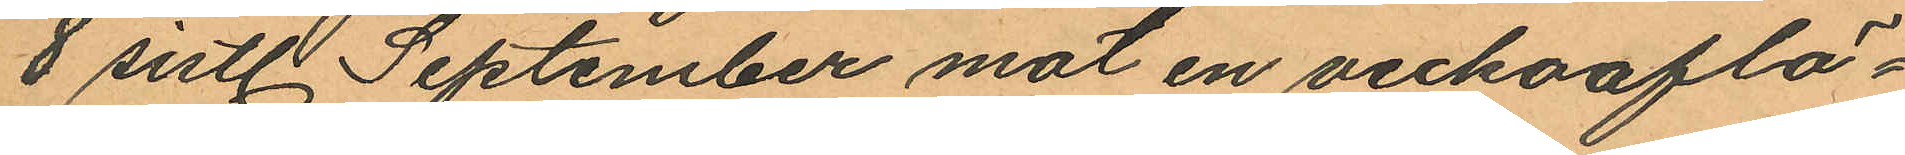8 sistl September mot en veckoaflö¬
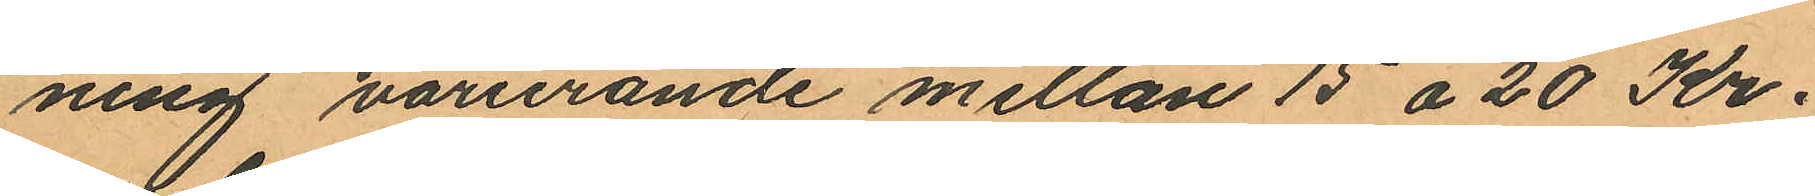ning varierande mellan 15 à 20 Kr.
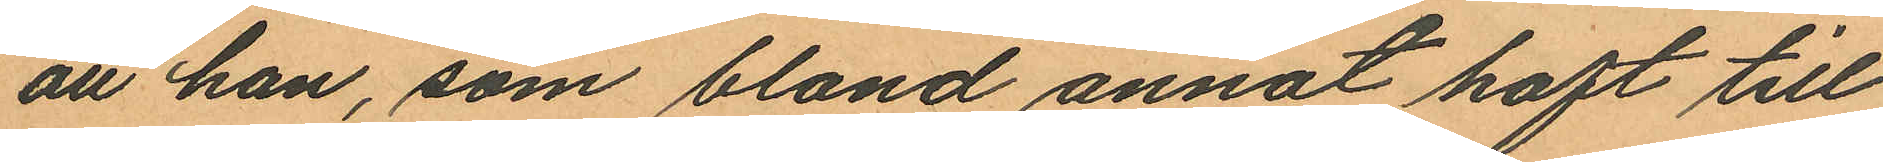att han, som bland annat haft till
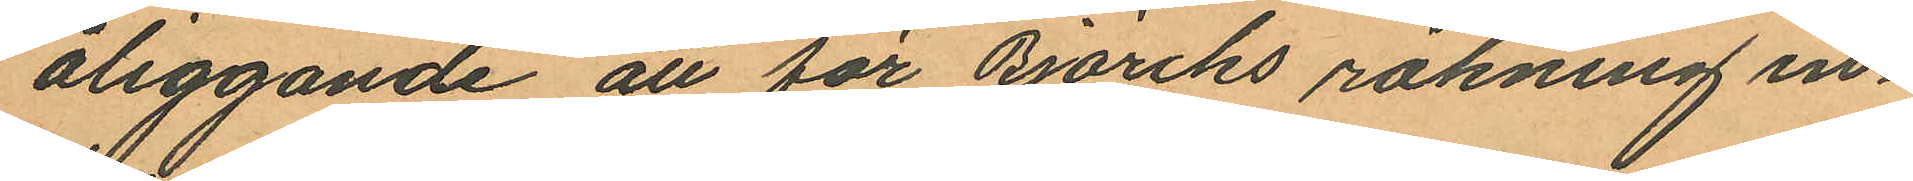åliggande att för Björiks räkning in¬
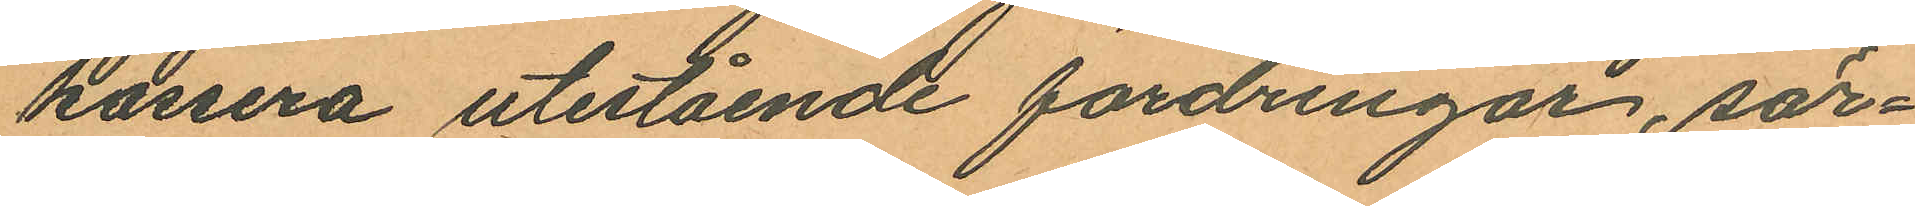kassera utestående fördringar, sär¬
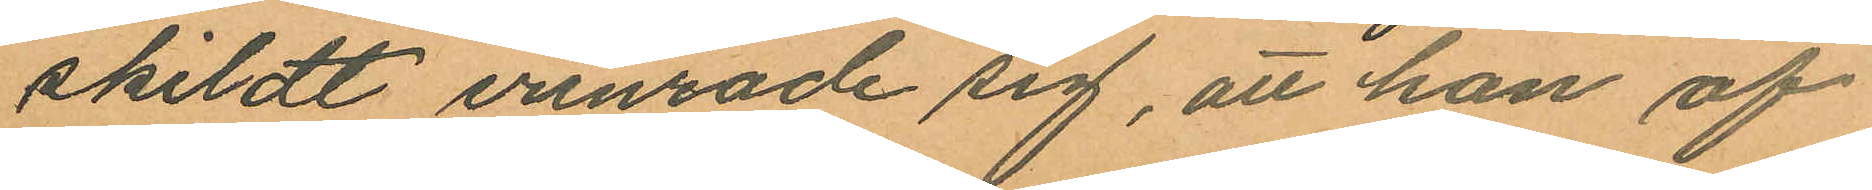skildt erinrade sig, att han af
